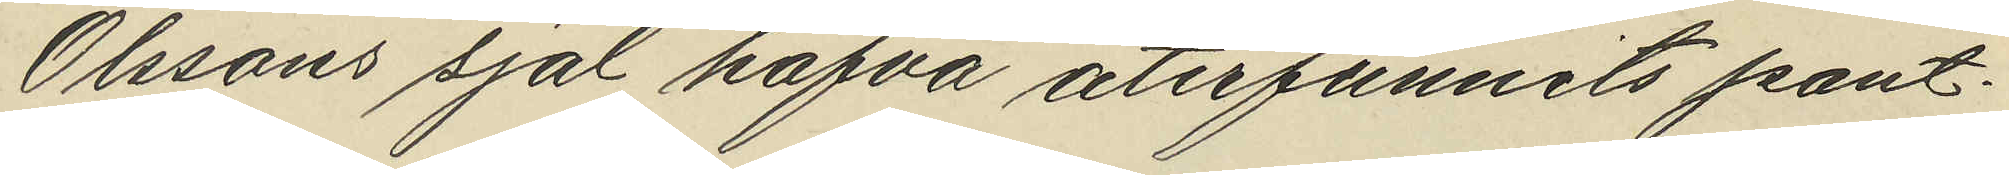Olssons sjal hafva återfunnits pant¬
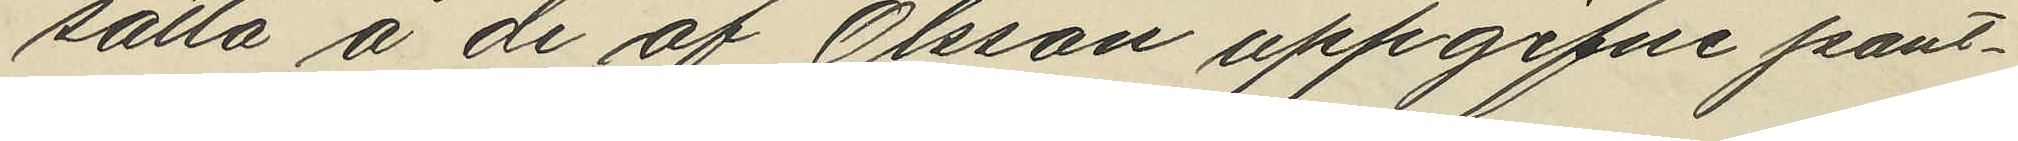sätta å de af Olsson uppgifne pant¬
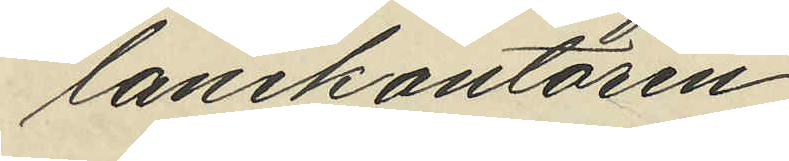lånekontoren.
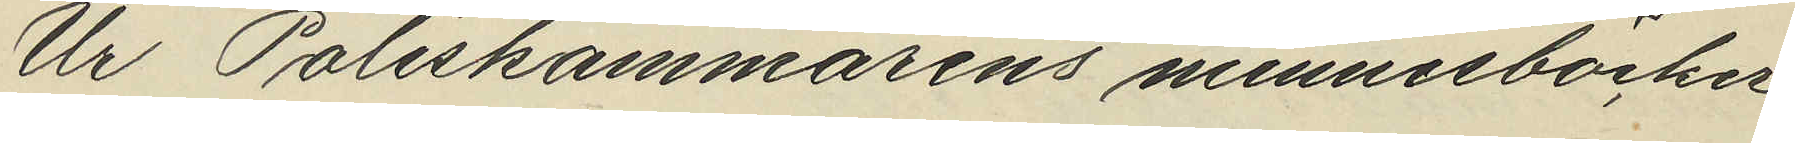Ur Poliskammarens minnesböcker
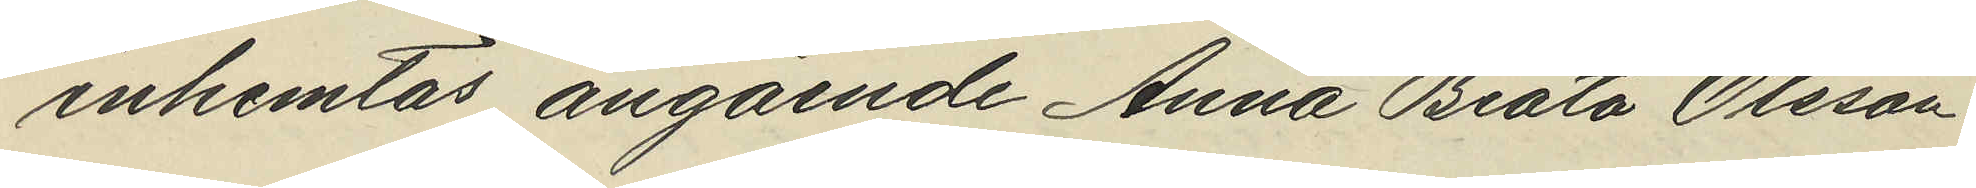inhemtas angående Anna Beata Olsson
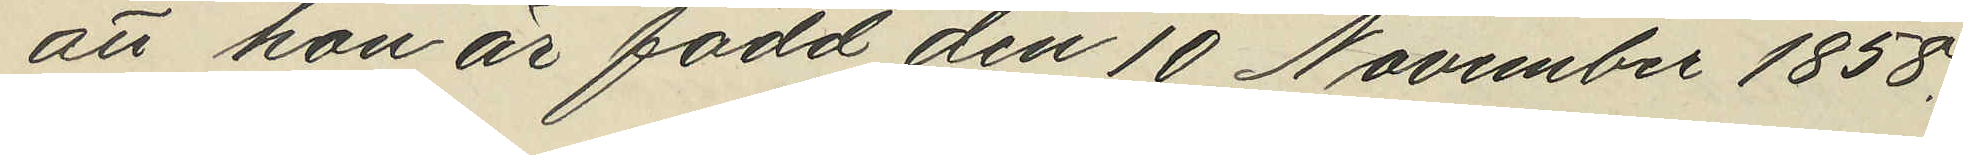att hon är född den 10 November 1858.
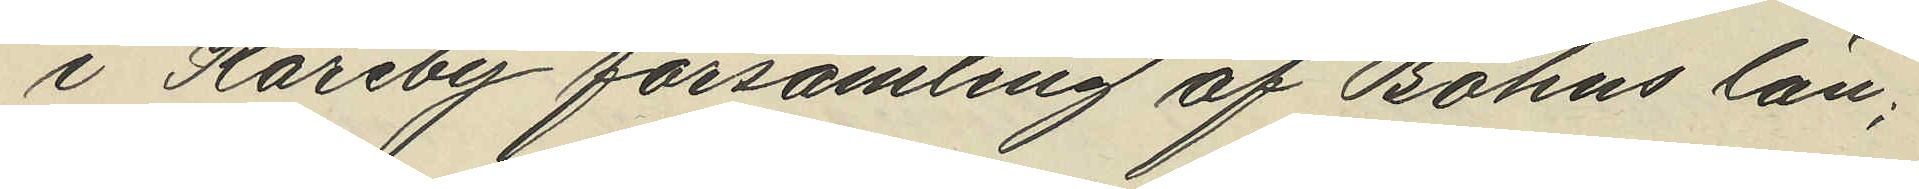i Kareby församling af Bohus län;
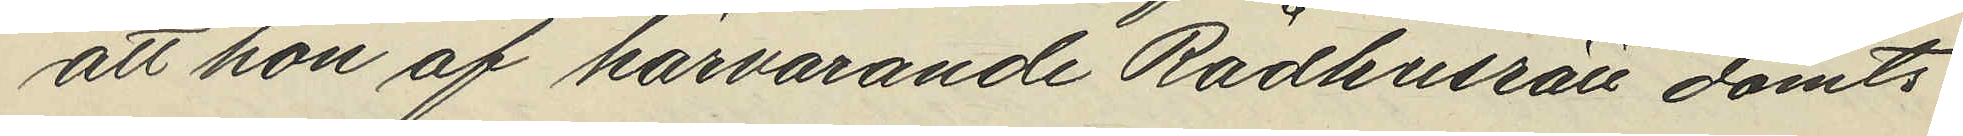att hon af härvarande Rådhusrätt dömts
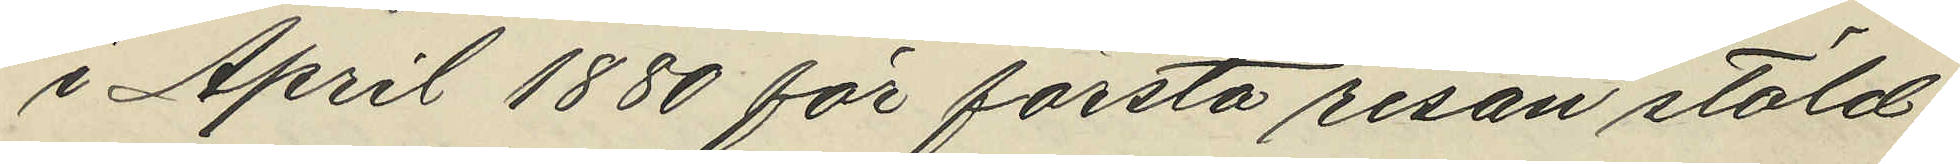i April 1880 för första resan stöld
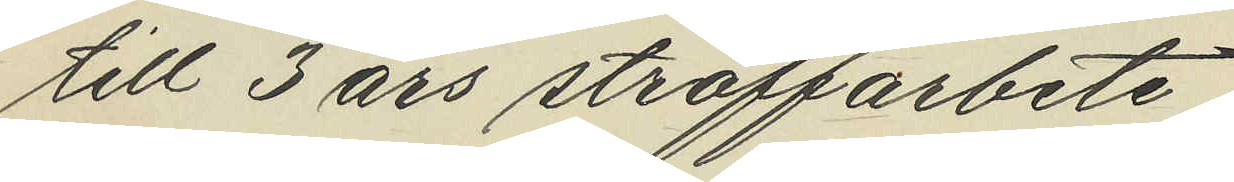till 3 års straffarbete
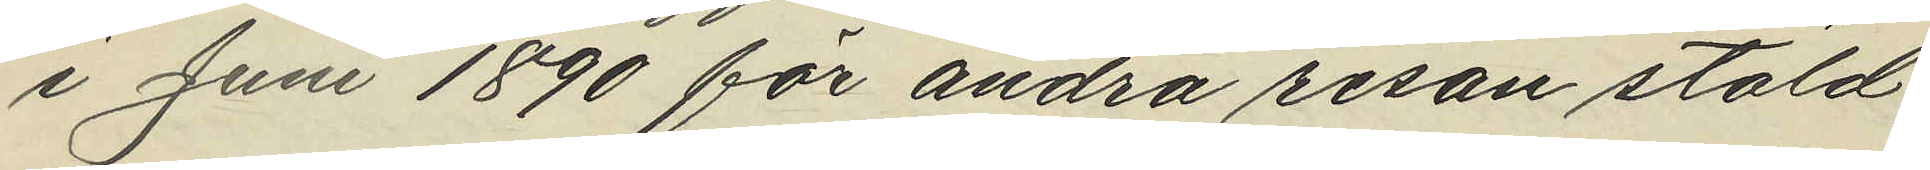i Juni 1890 för andra resan stöld
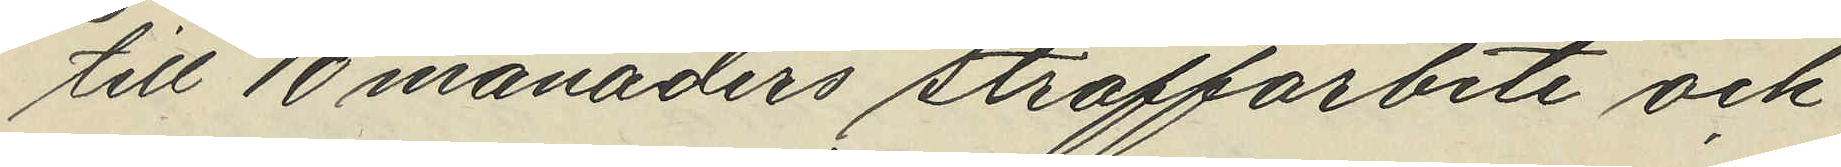till 10 månaders straffarbete och
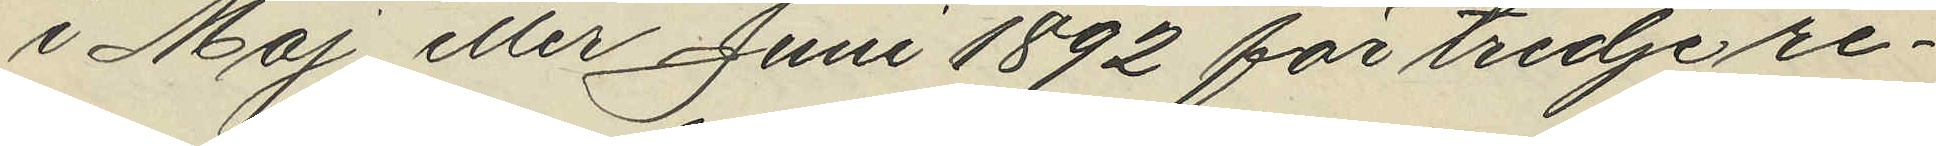i Maj eller Juni 1892 för tredje re¬
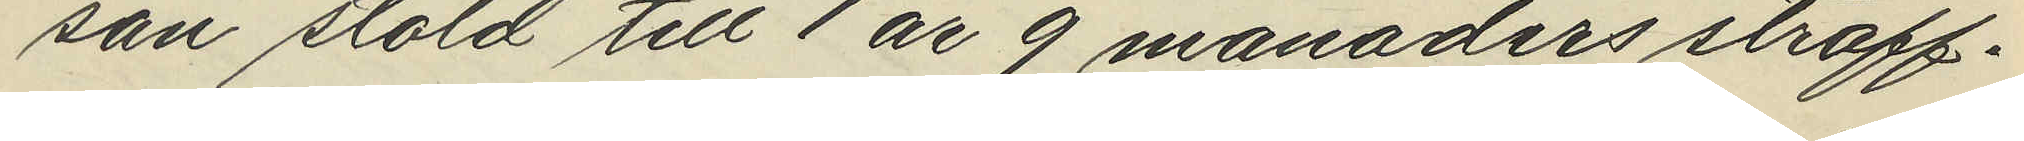san stöld till 1 år 9 månaders straff¬
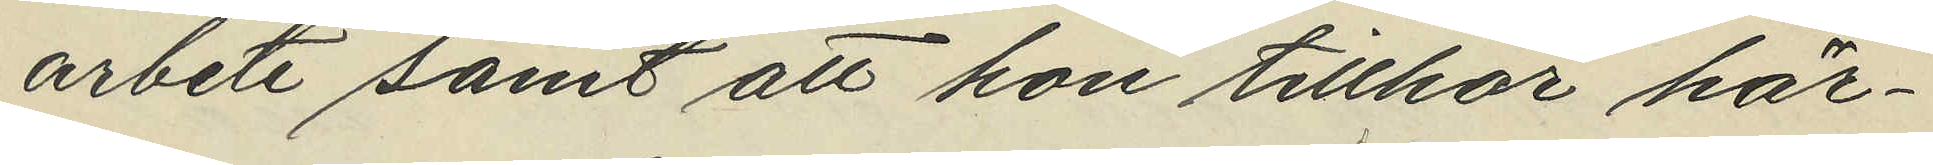arbete samt att hon tillhör här¬
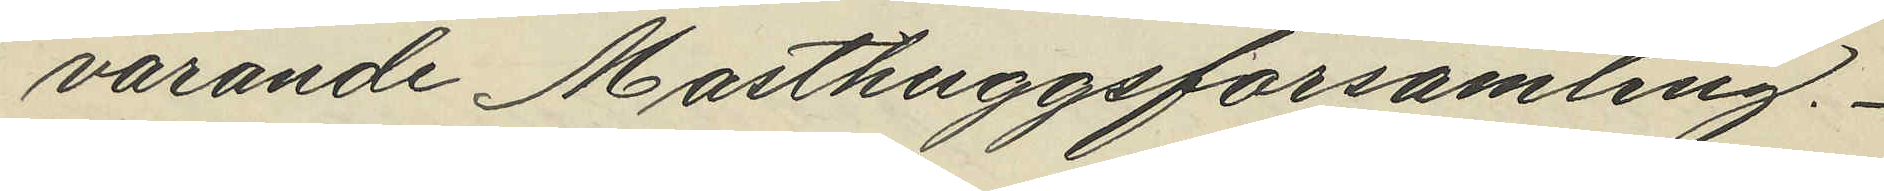varande Masthuggsförsamling.
